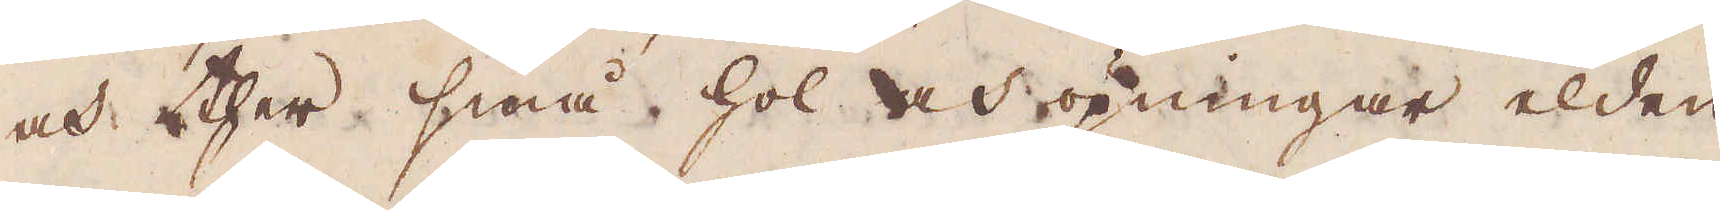och ther små hol och öpningar elden
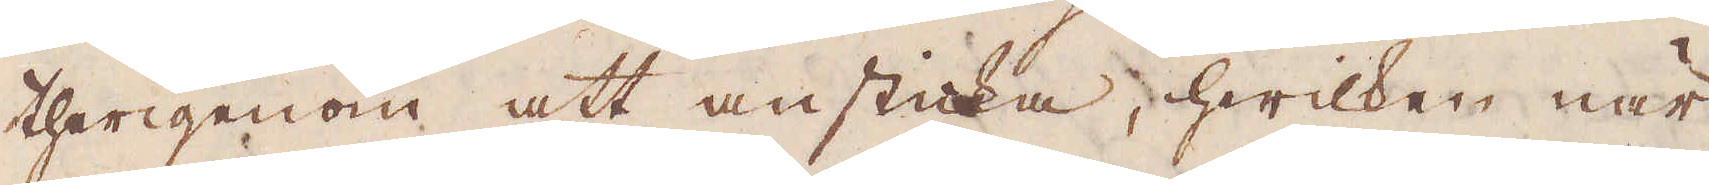therigenom att ansticka, hwilken när
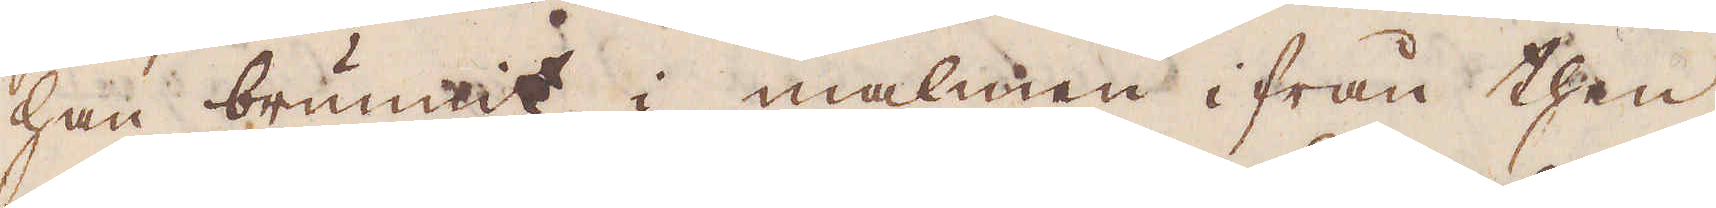han brunnit i malmen ifrån then
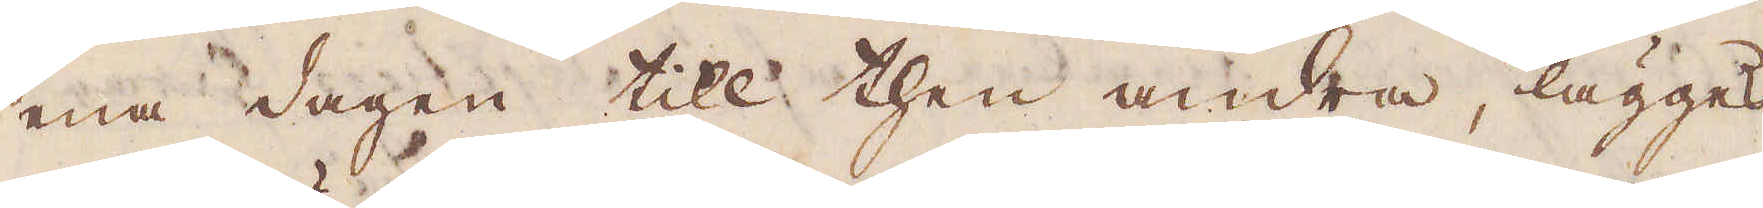ena dagen till then andra, lägges
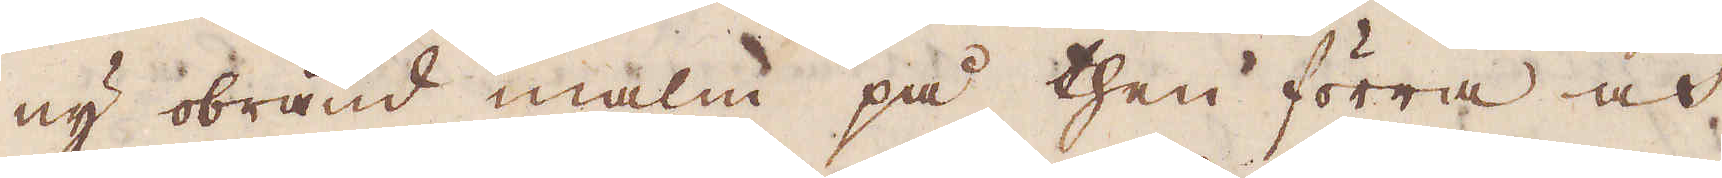ny obränd malm på then förra och
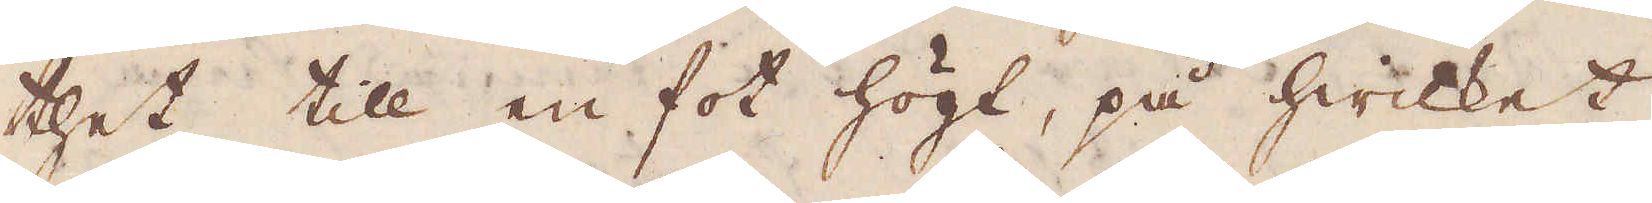thet till en fot högt, på hwilket
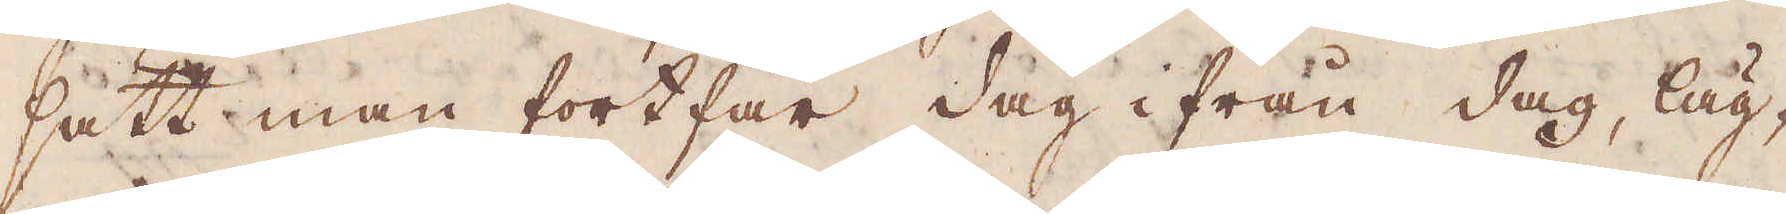sätt man fortfar dag ifrån dag, läg-
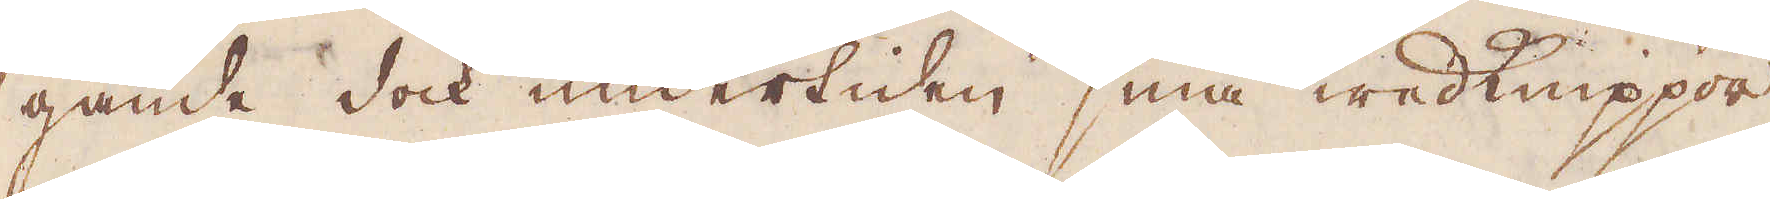gande dock undertiden små wedknippor
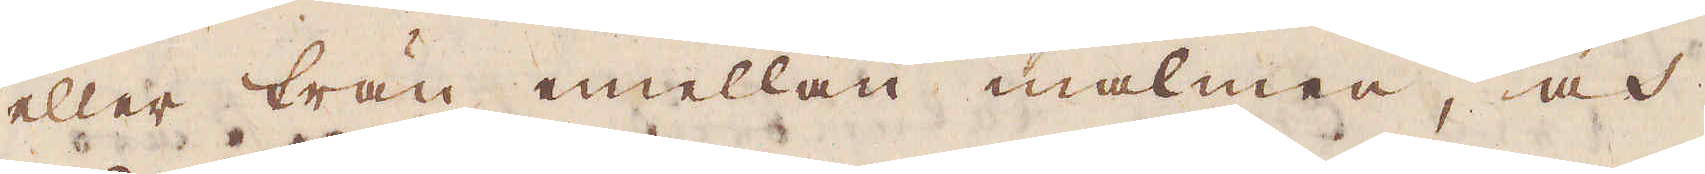eller trän mellan malmen, och
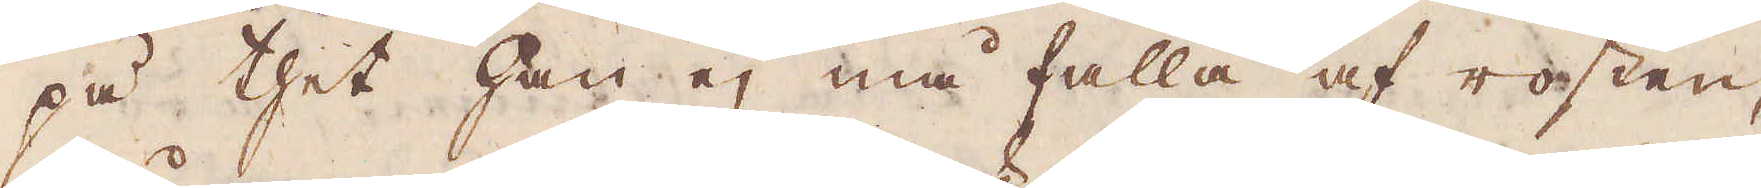på thet han ej må falla af rosten,
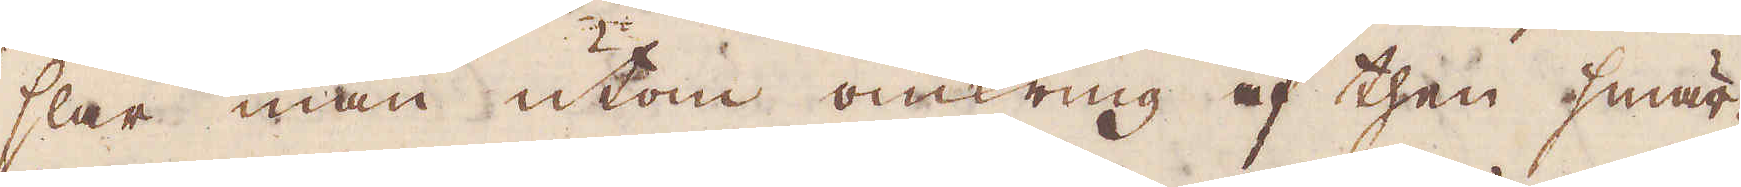slår man utom omkring af then smär-
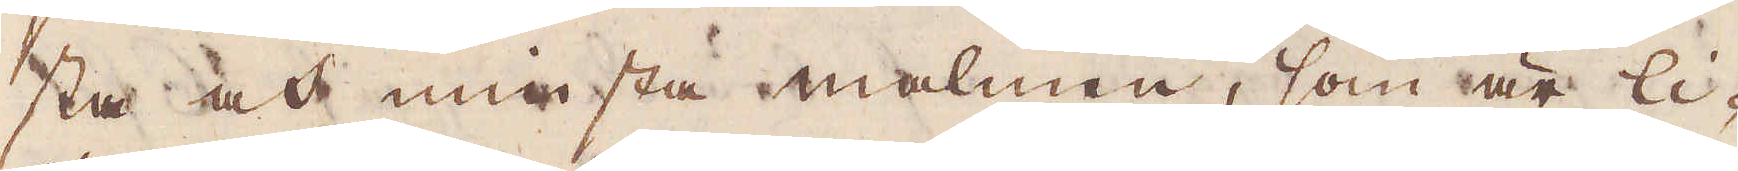sta och minsta malmen, som är li-
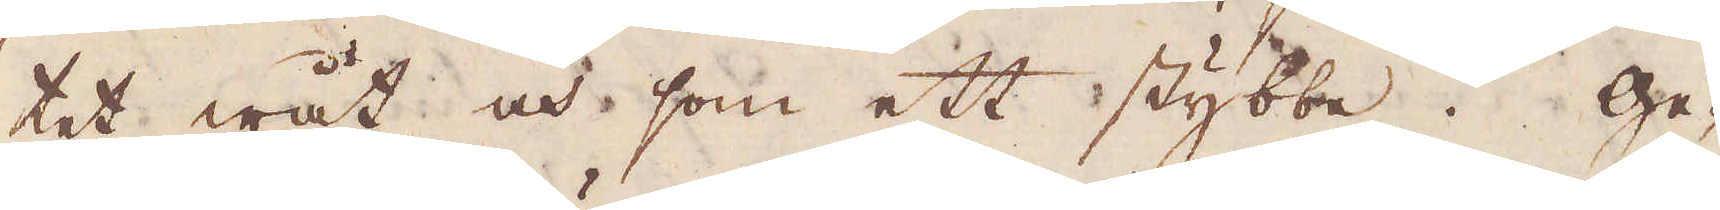tet wåt och som ett stybbe. Ge-
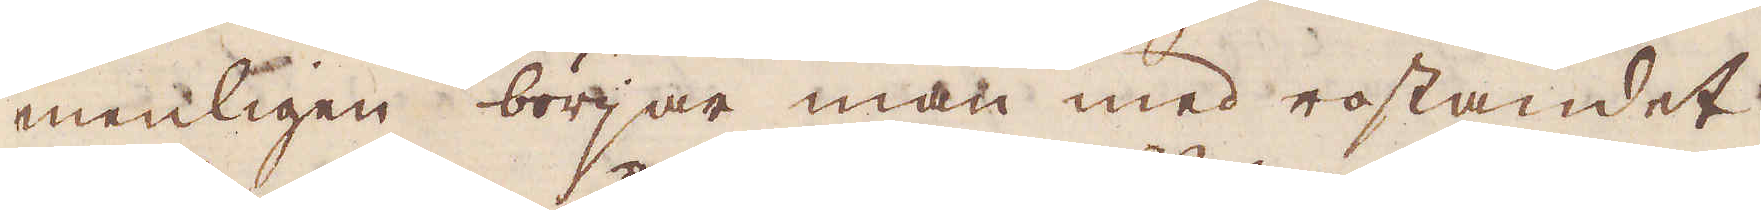menligen börjar man med rostandet
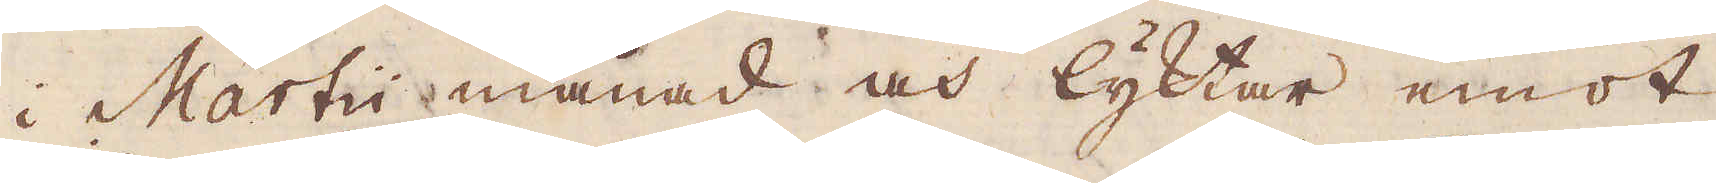i Martii månad och lyktar emot
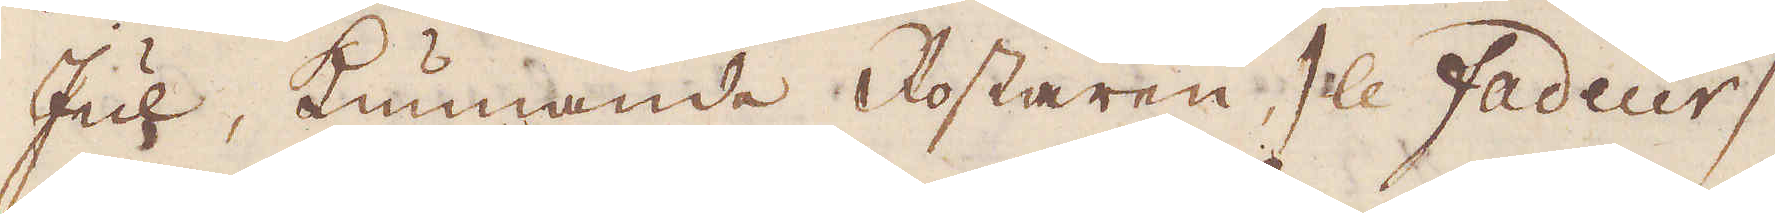Jul, kunnande Rostaren / le fadeur /
